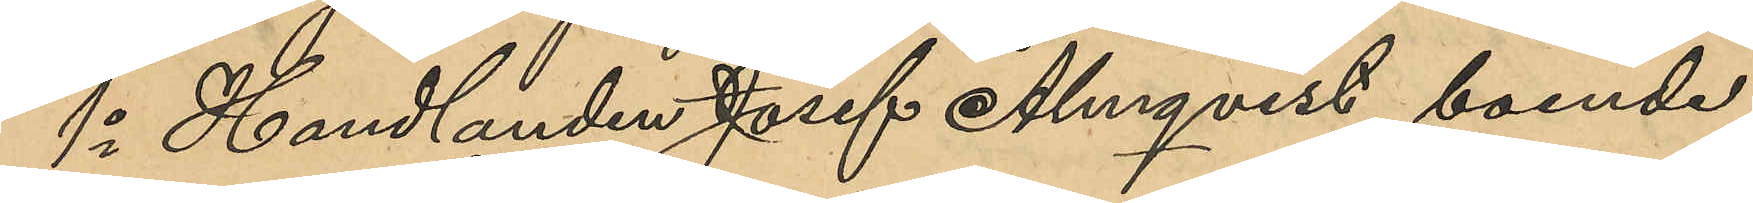1o Handlanden Josef Almqvist, boende i
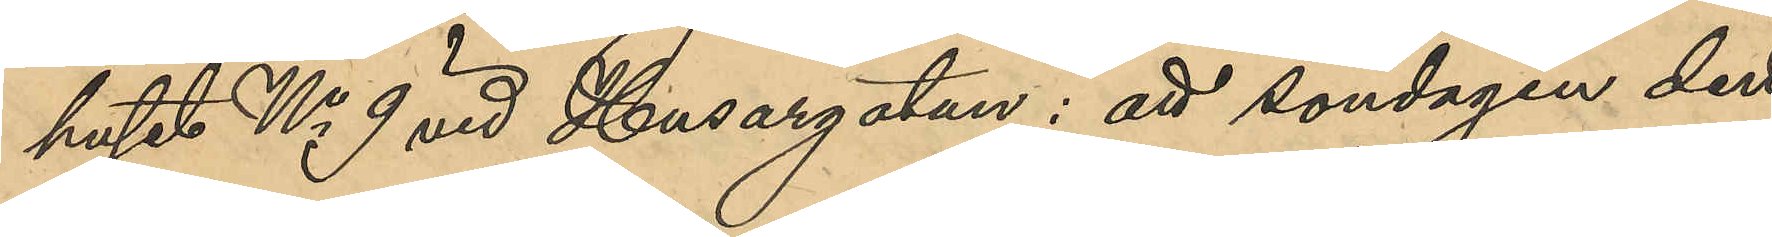huset No 9 vid Husargatan: att söndagen den
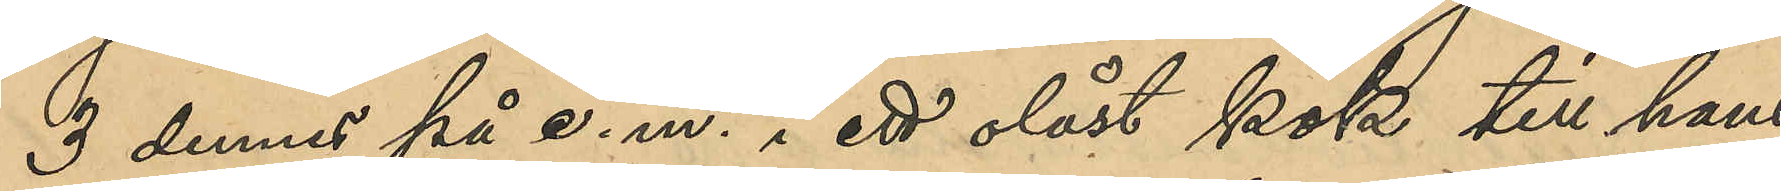3 dennes på e. m. i ett olåst kök till hans
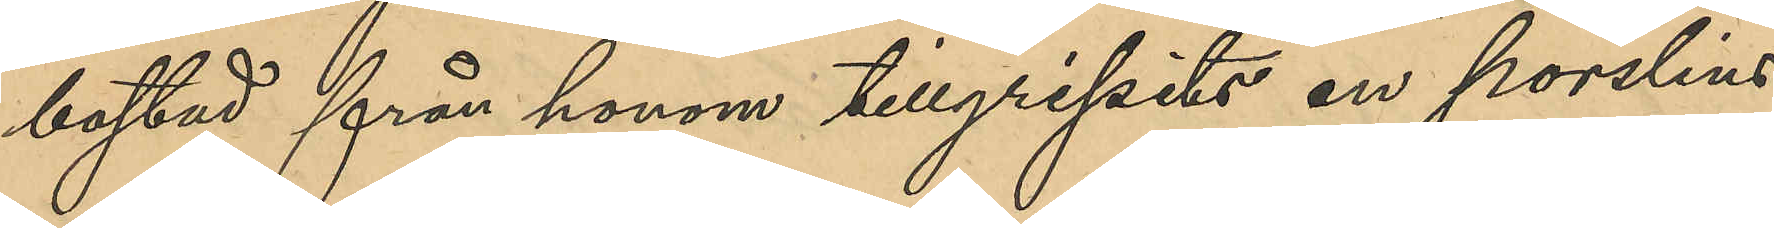bostad från honom tillgripits en porslins¬
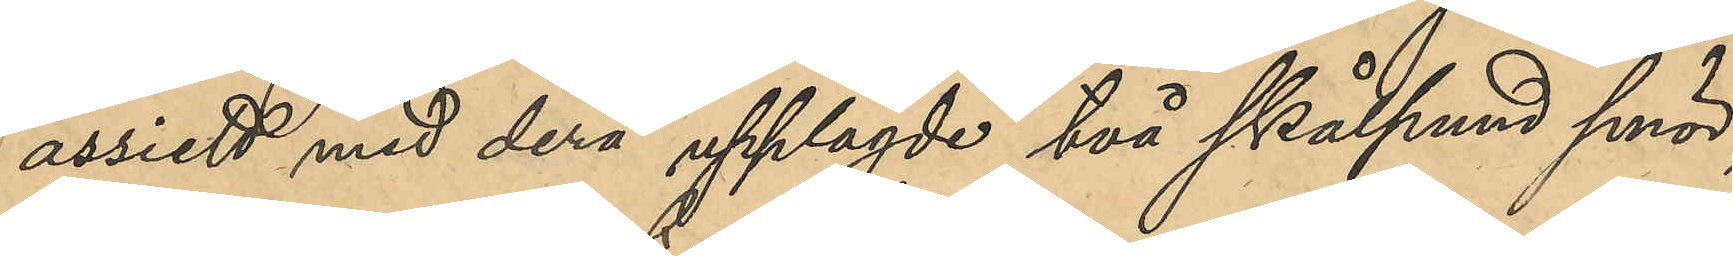assiett med derå upplagde två skålpund smör,
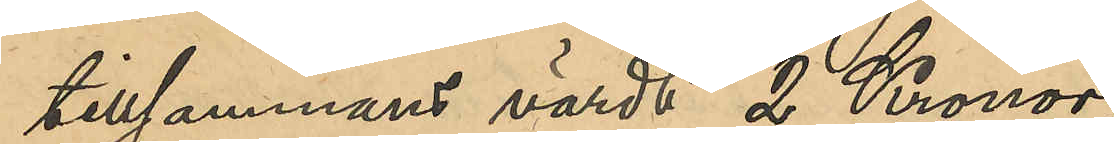tillsammans värdt 2 Kronor;
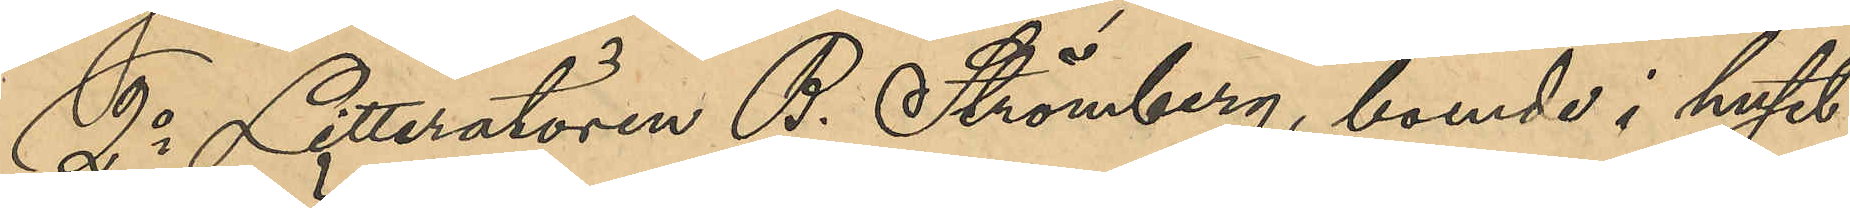2o Litteratören B. Strömberg, boende i huset
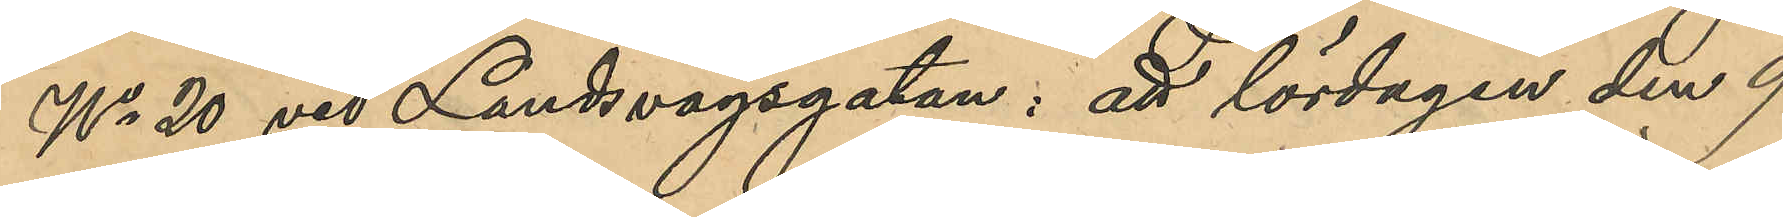No 20 vid Landsvägsgatan: att lördagen den 9
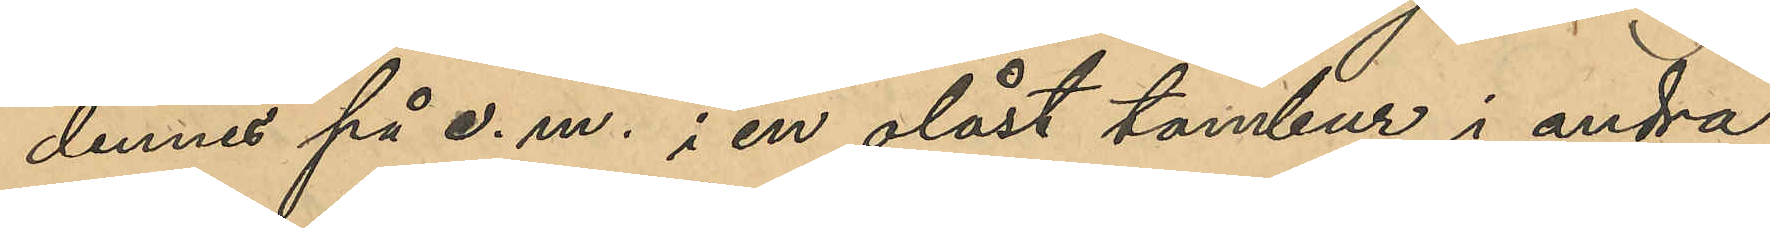dennes på e. m. i en olåst tambur i andra
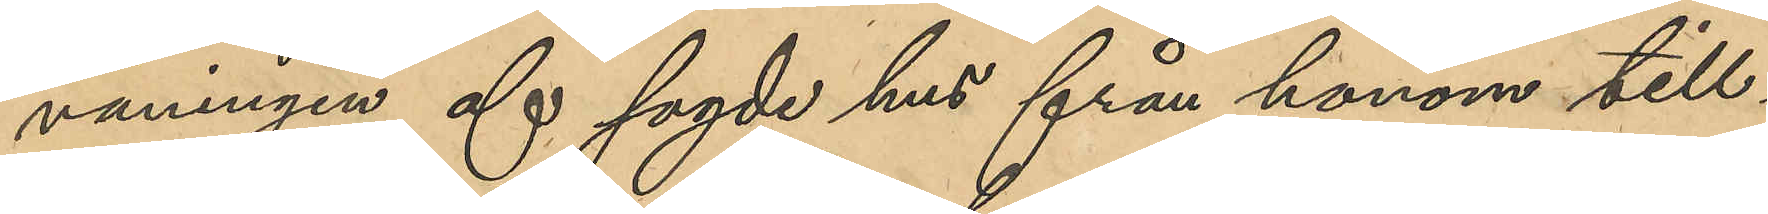våningen af sagde hus från honom till¬
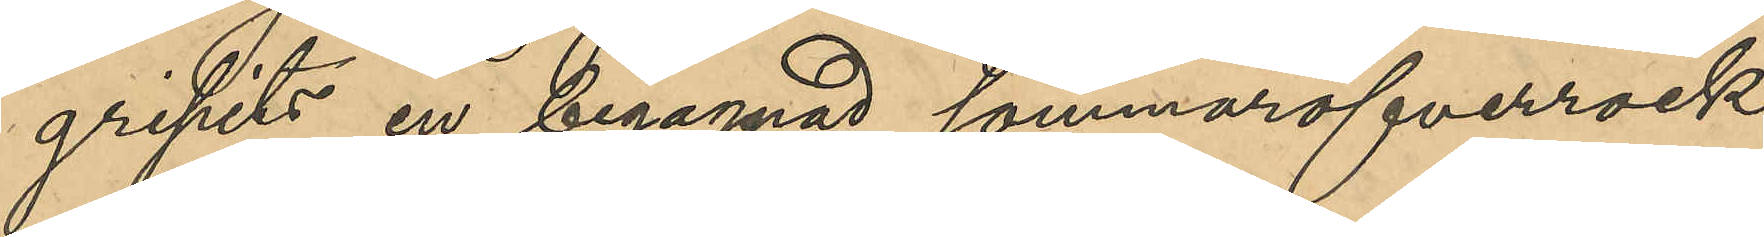gripits en begagnad sommaröfverrock
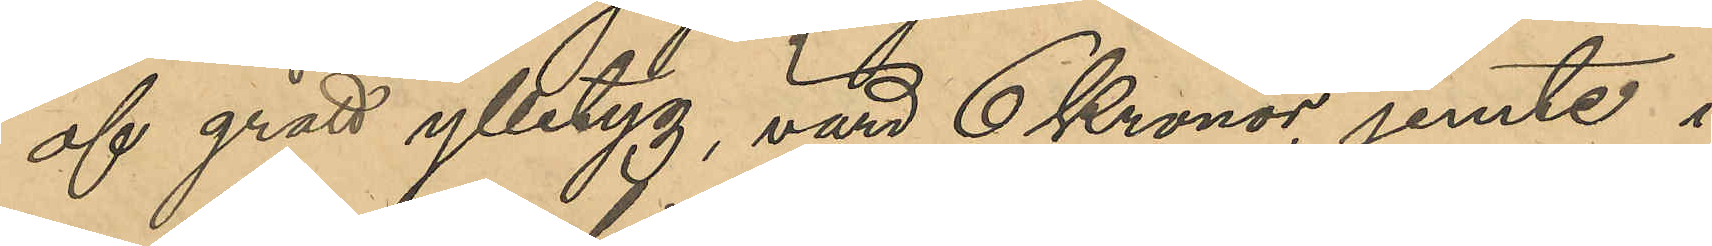af grått ylletyg, värd 6 Kronor jemte i
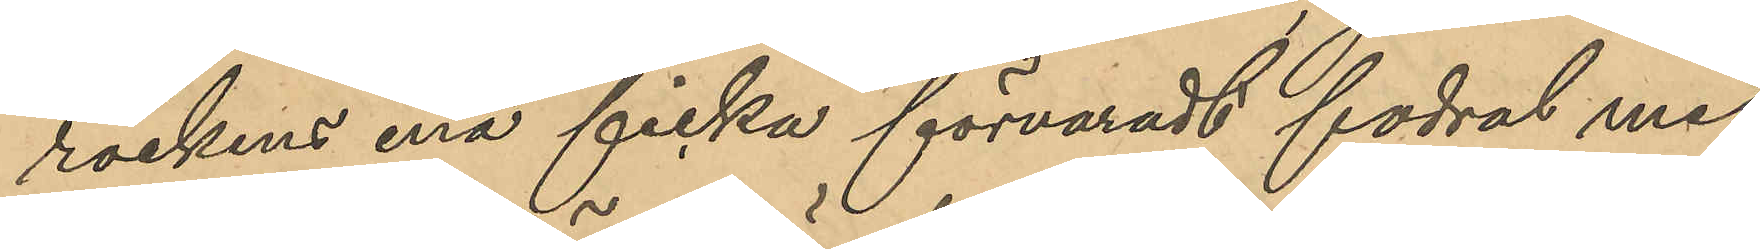rockens ena ficka förvaradt fodral med
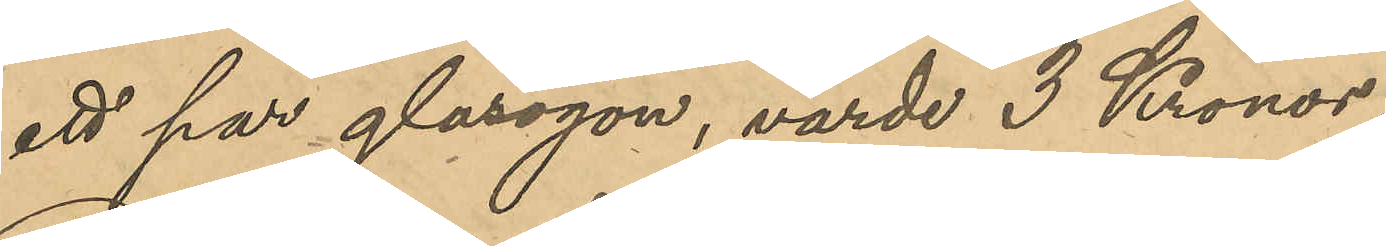ett par glasögon, värde 3 Kronor;
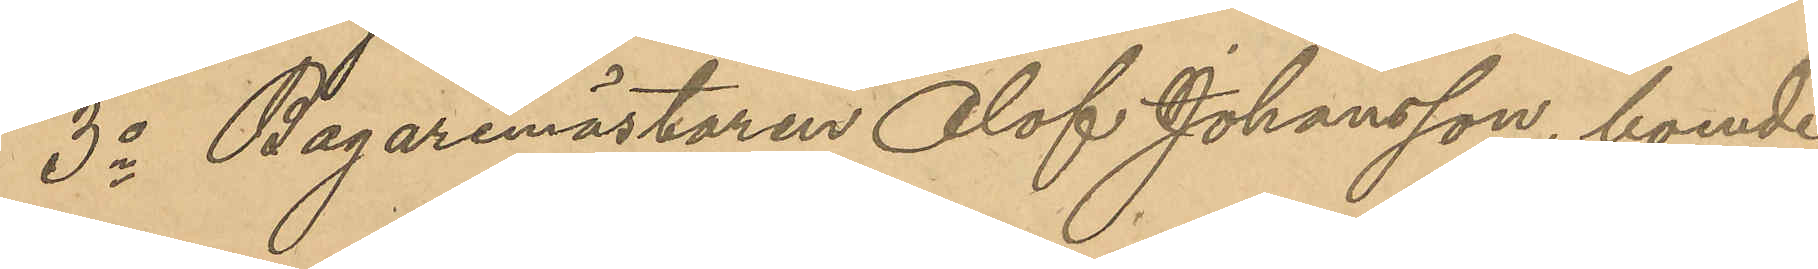3o Bagaremästaren Olof Johansson, boende
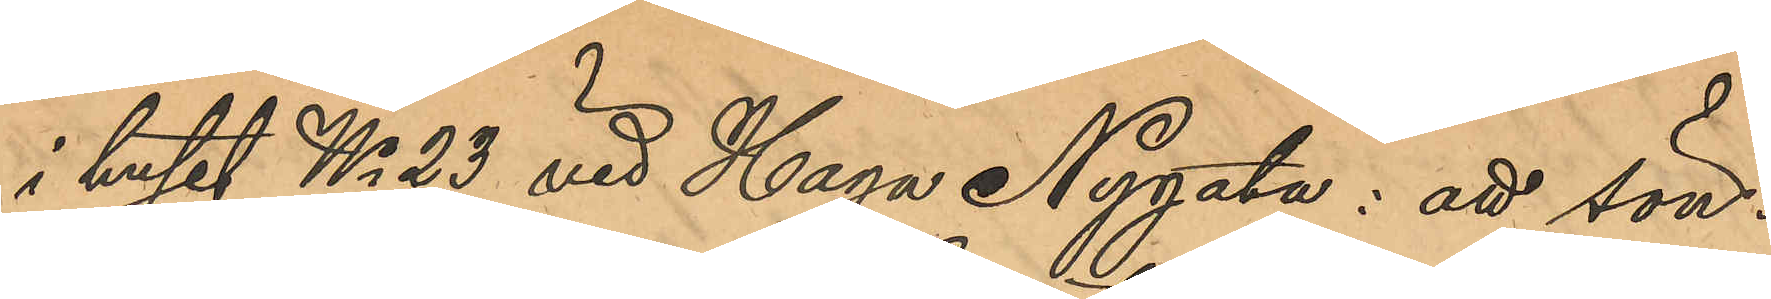i huset No 23 vid Haga Nygata: att sön¬
